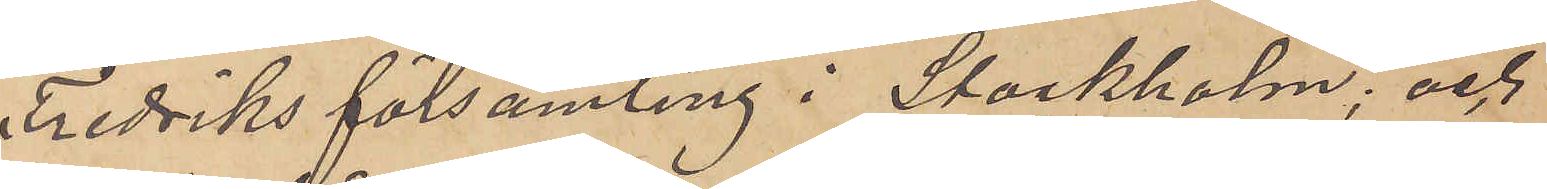Fredriks församling i Stockholm; och
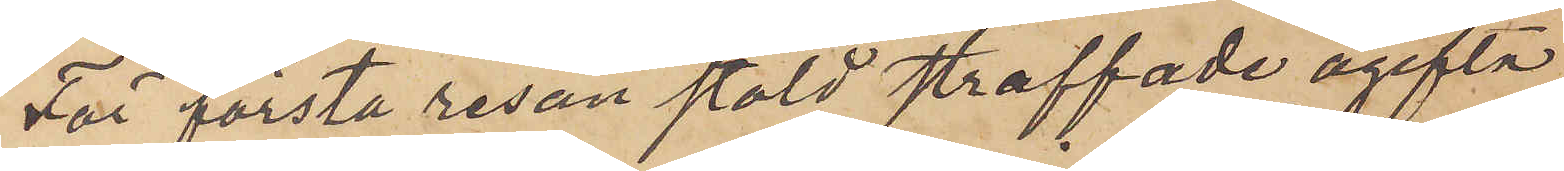För första resan stöld straffade ogifta
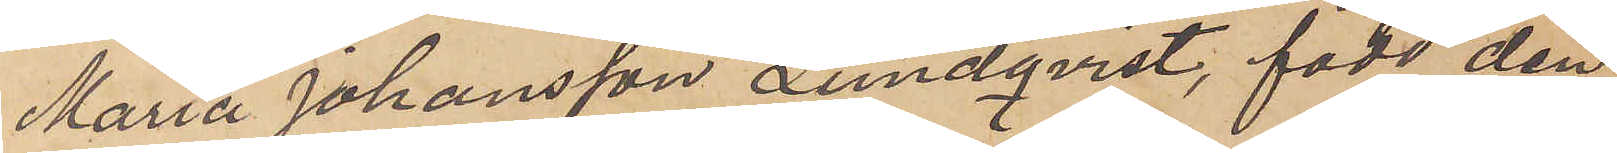Maria Johansson Lundqvist, född den
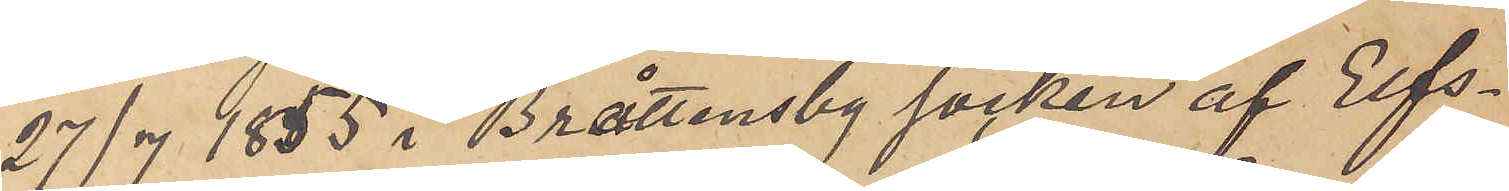27/7 1855 i Bråttensby socken af Elfs¬
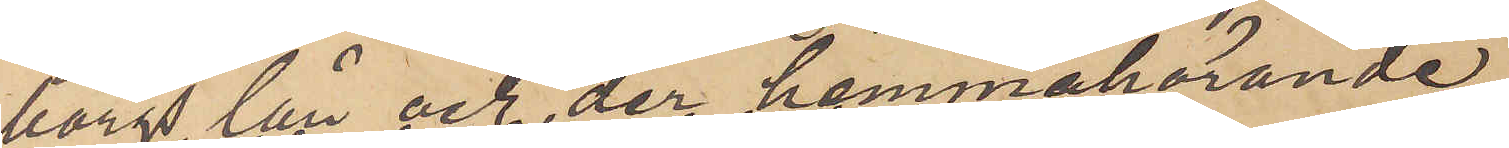borgs län och der hemmahörande
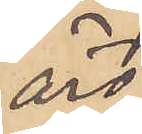äro
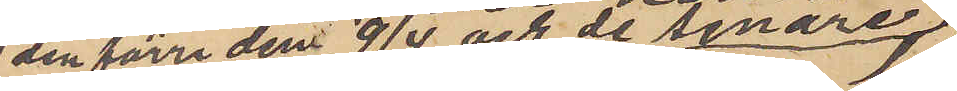den förra den 9/4 och de senare
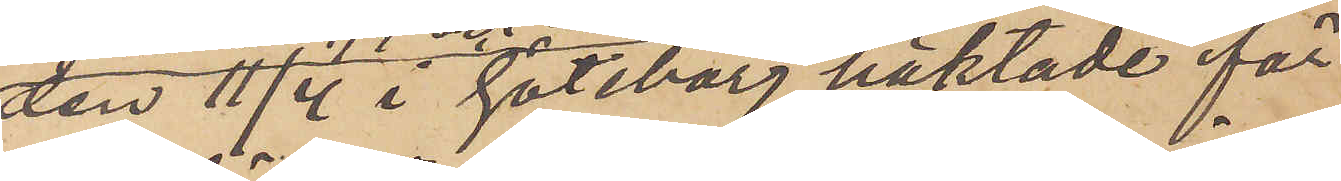den 11/4 i Göteborg häktade för
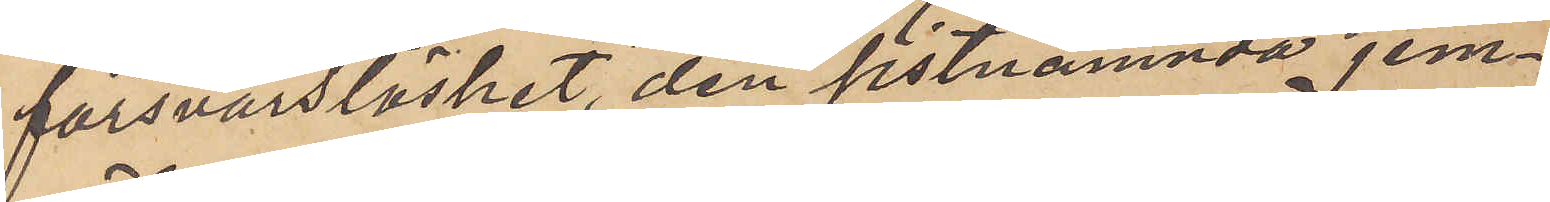försvarslöshet, den sistnämnda jem¬
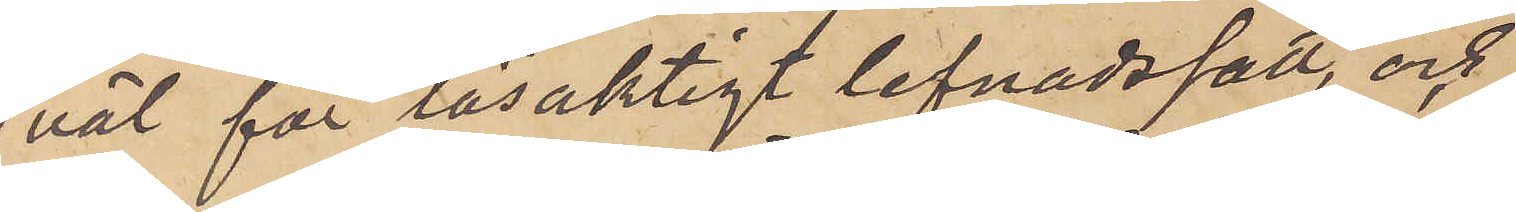väl för lösaktigt lefnadssätt, och
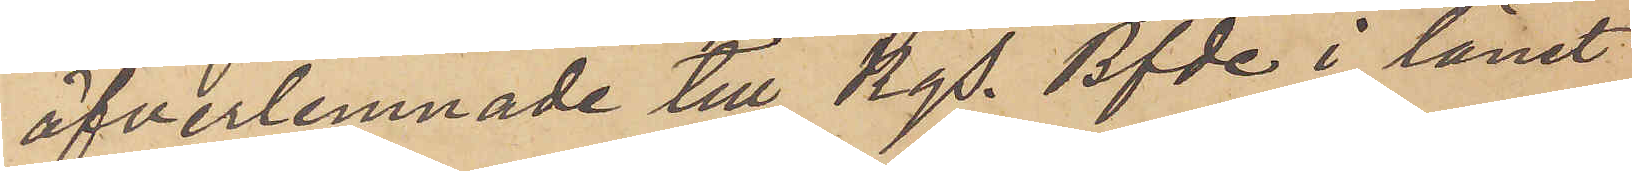öfverlemnade till Kgs. Bfde i lånet
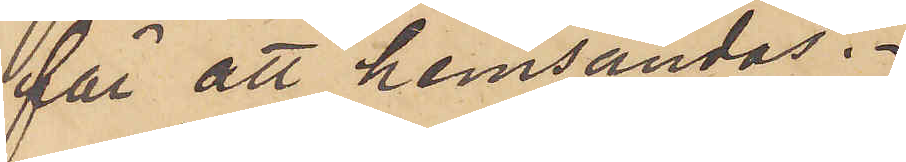för att hemsändas.
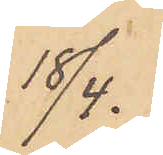18/4.
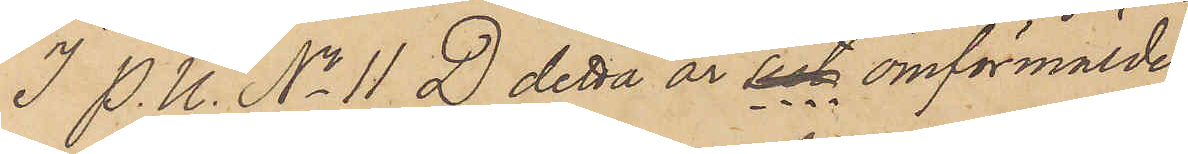I P. U. No 11 D detta år sist omförmälde
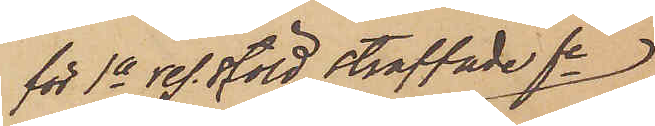för 1a res. stöld straffade fe
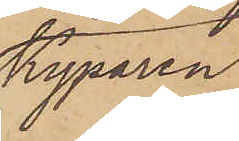kyparen
